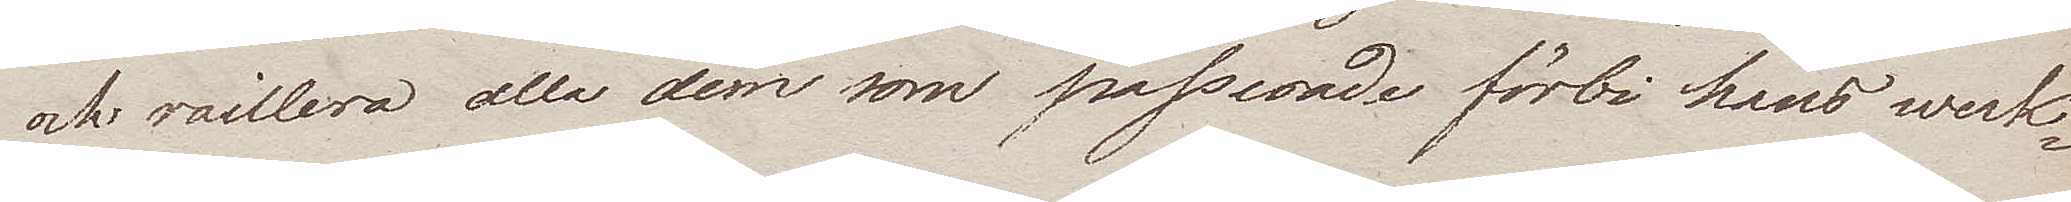och raillera alla dem som passerade förbi hans werk¬
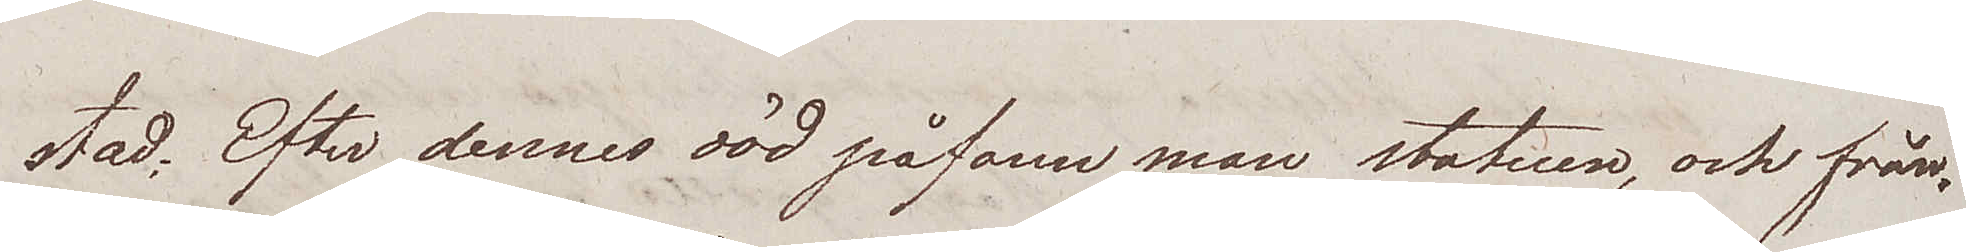stad. Efter dennes död påfann man statuen, och från
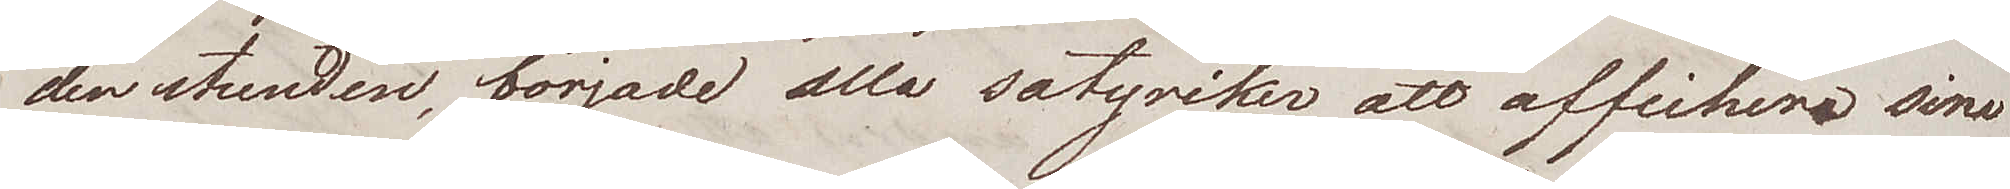den stunden, började alla satyriker att affichera sine
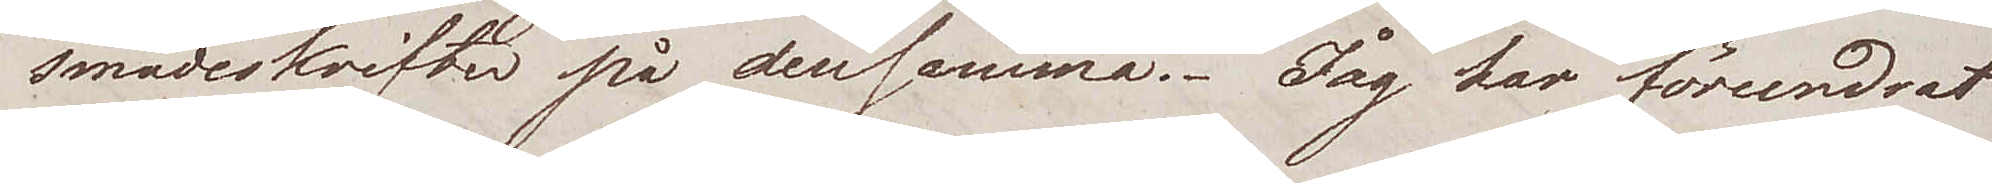smädeskrifter på densamma. Jag har förundrat
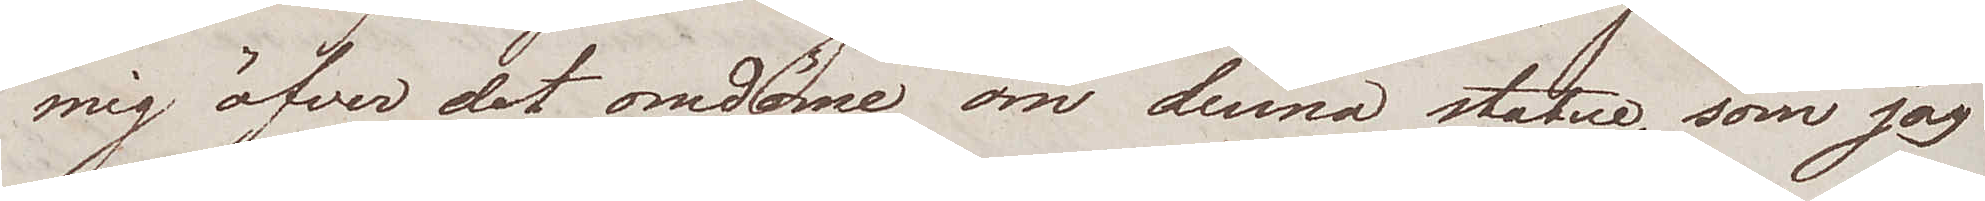mig öfver det omdöme om denna statue, som jag
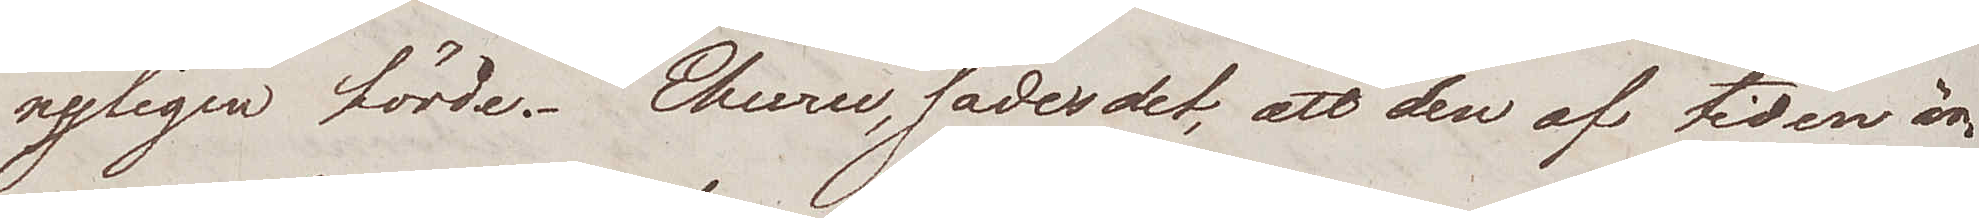nyligen förde. "Ehuru, sades det, att den af tiden är
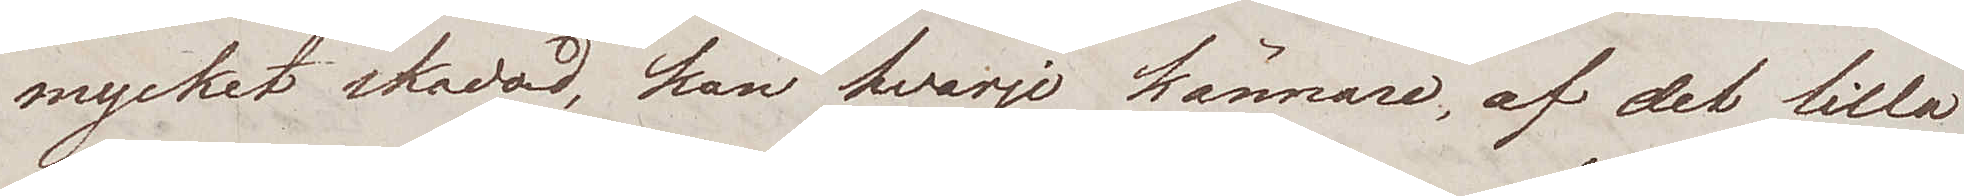mycket skadad, kan hvarje kännare, af det lilla
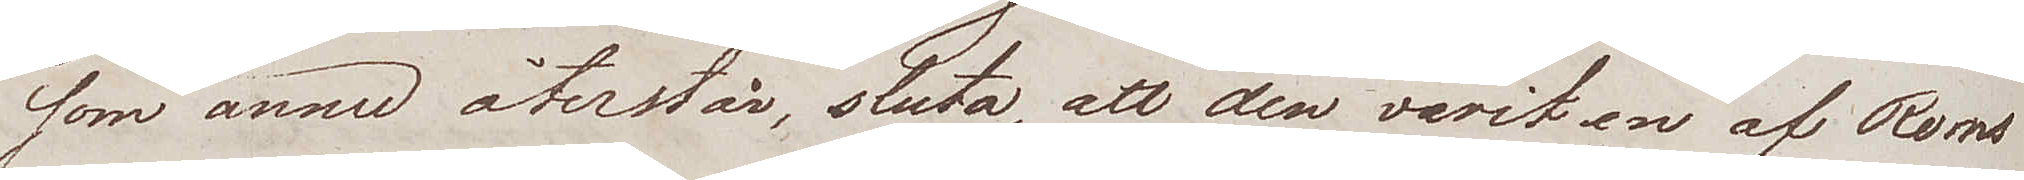som ännu återstår, sluta, att den varit en af Roms
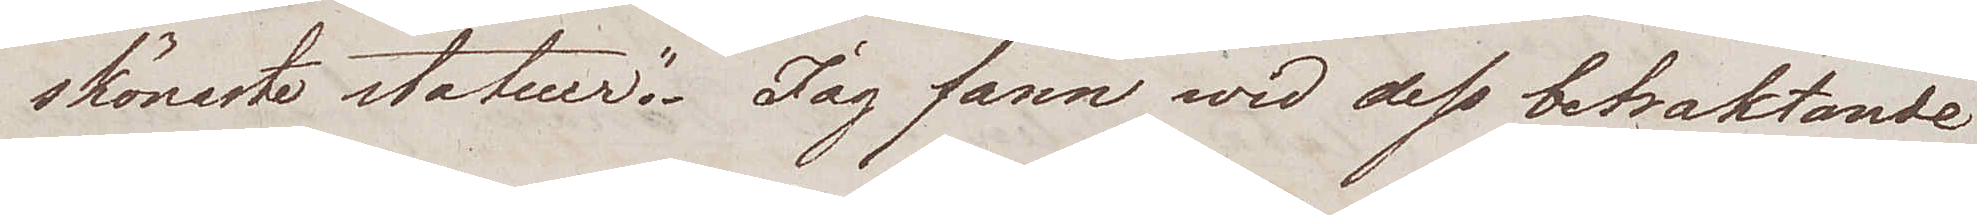skönaste statuer". Jag fann wid dess betraktande
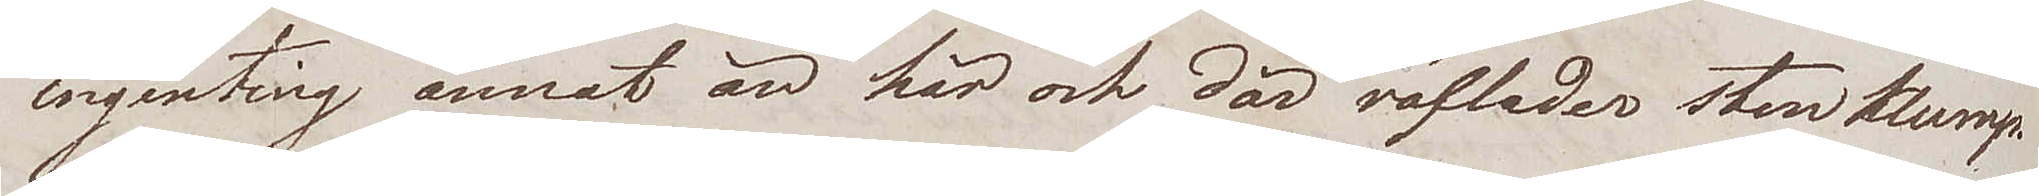ingenting annat än här och där räflader stenklump.
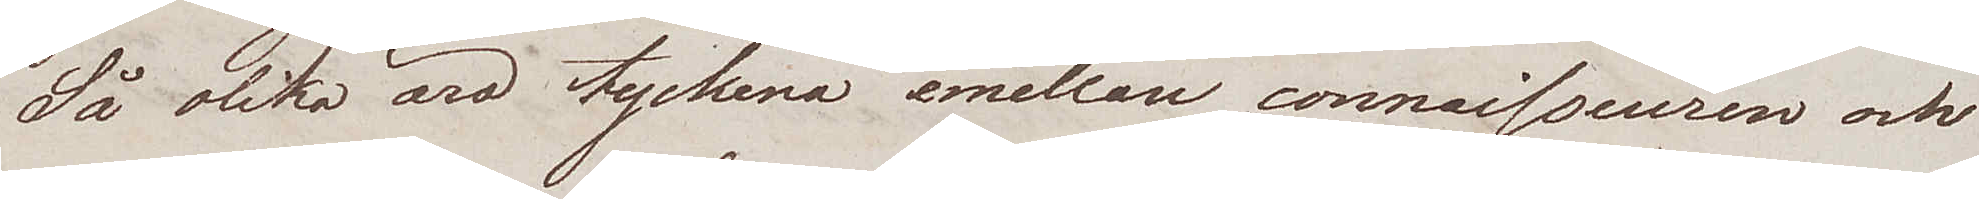Så olika äro tyckena emellan connaisseuren och
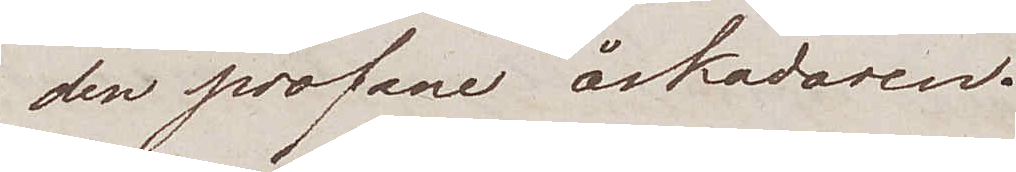den profane åskådaren.
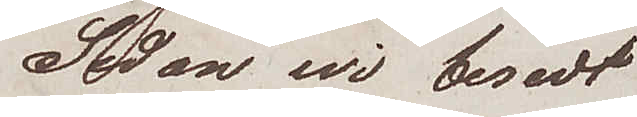Sedan wi besedt
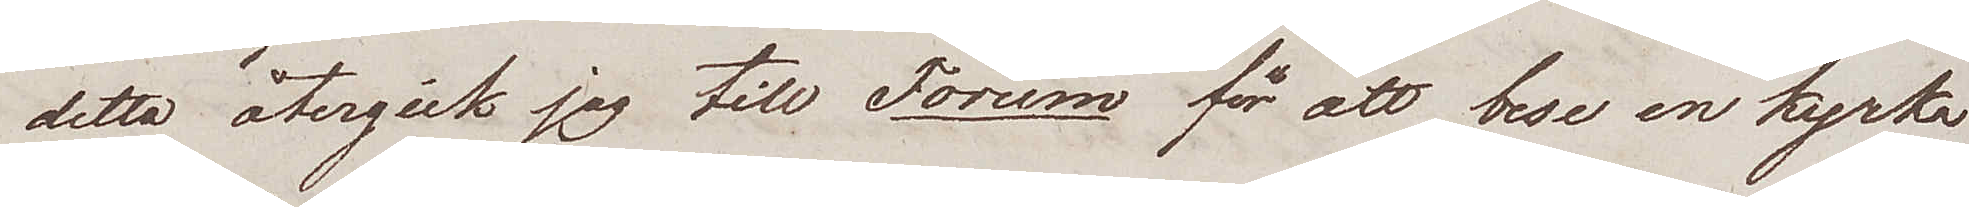detta återgick jag till Forum för att bese en kyrka
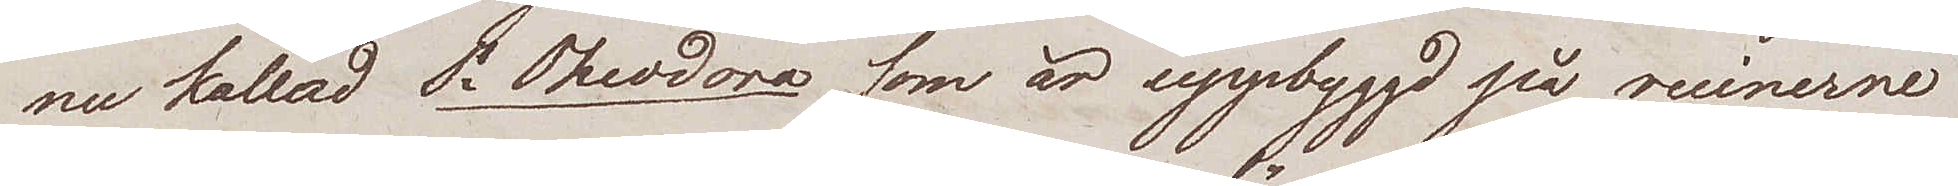nu kallad St Theodora, som är uppbyggd på ruinerne
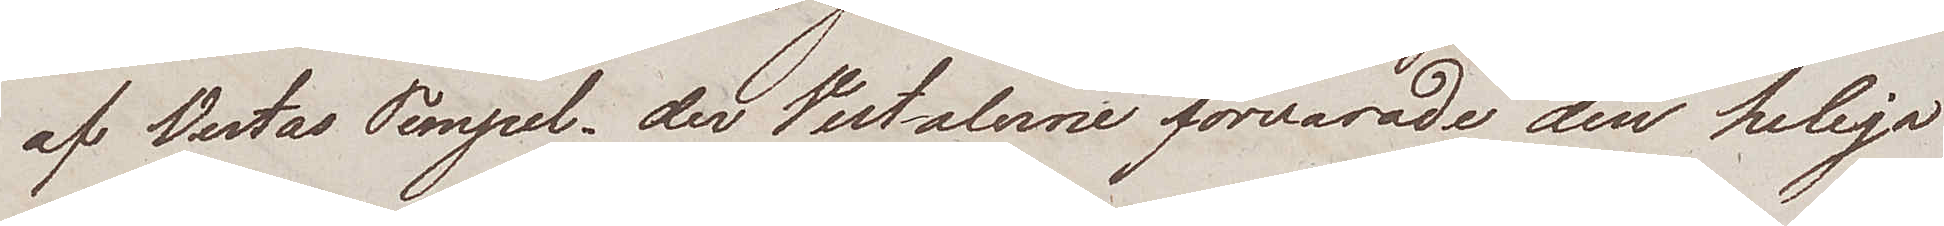af Vestas Tempel, der Vestalerne förvarade den heliga
